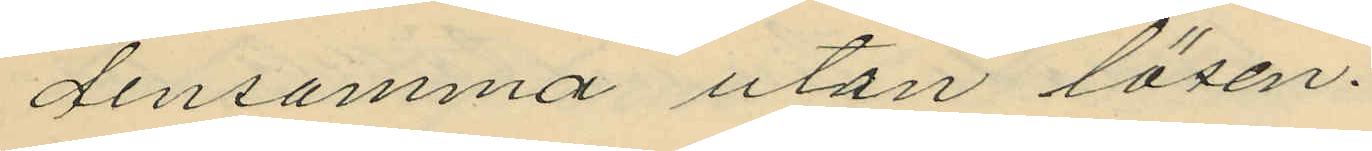densamma utan lösen.
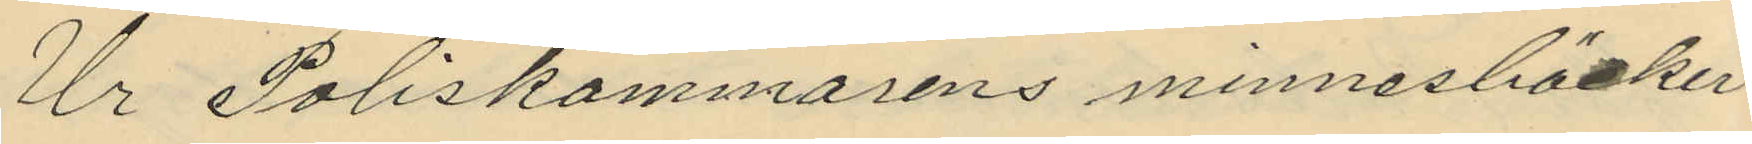Ur Poliskammarens minnesböcker
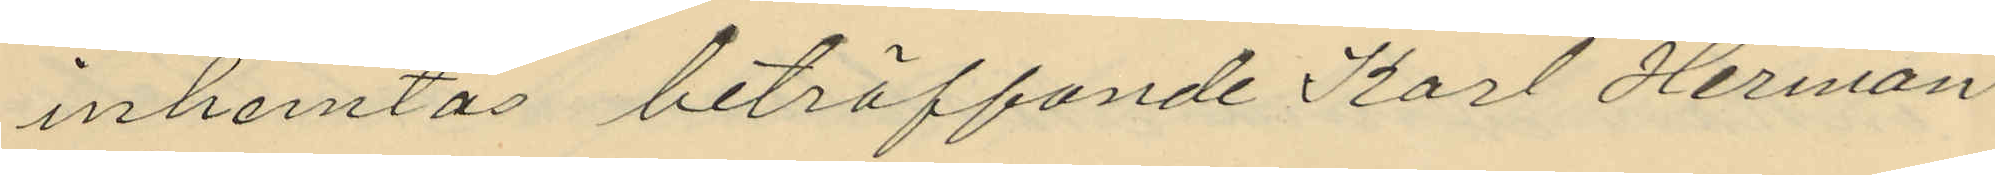inhemtas beträffande Karl Herman
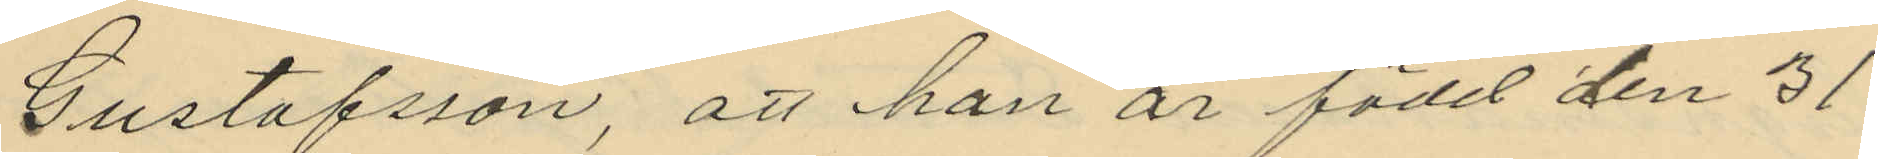Gustafsson, att han är född den 31
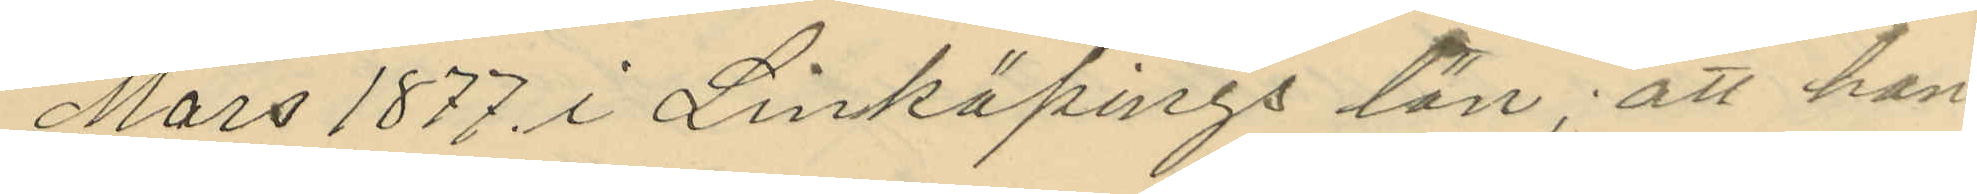Mars 1877 i Linköpings län; att han
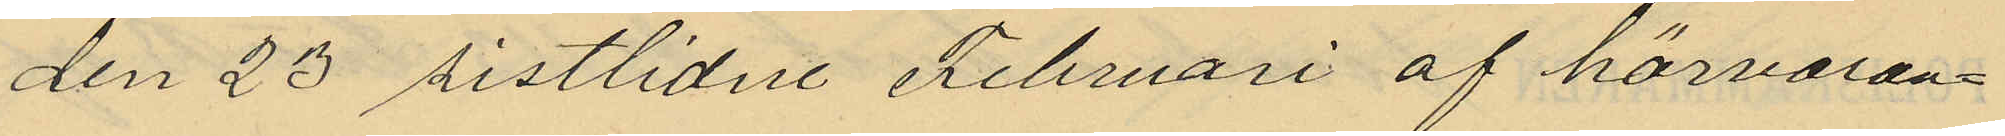den 23 sistlidne Februari af härvaran¬
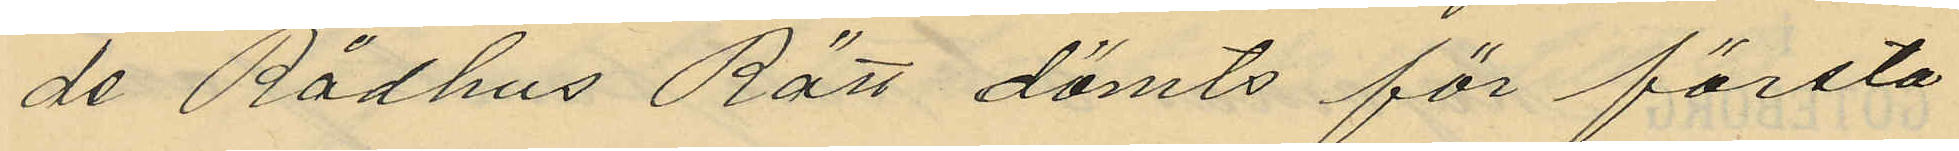de Rådhus Rätt dömts för första
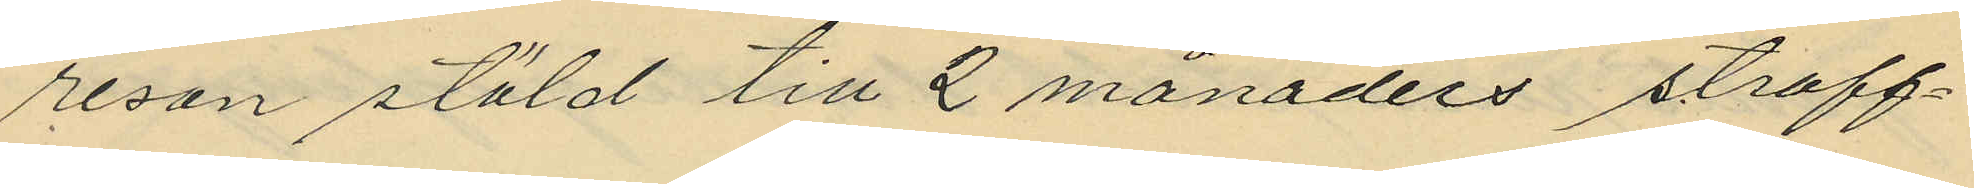resan stöld till 2 månaders straff¬
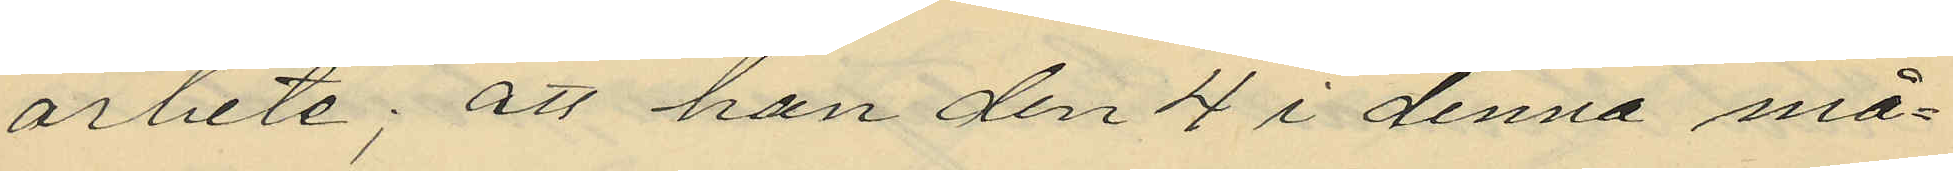arbete; att han den 4 i denna må¬
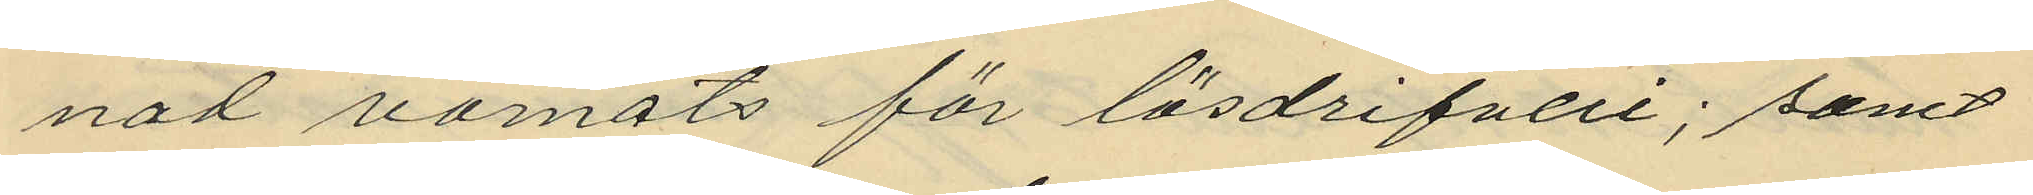nat varnats för lösdrifveri; samt
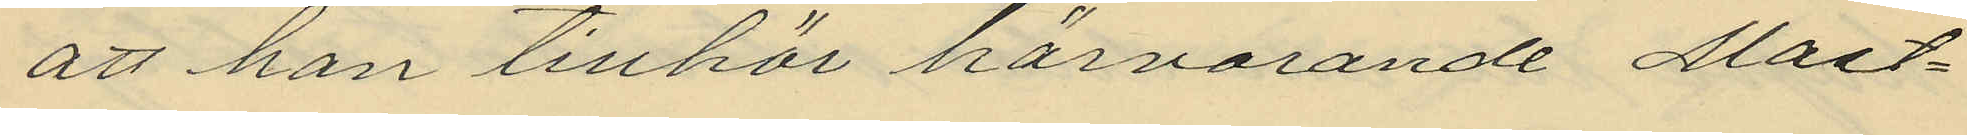att han tillhör härvarande Mast¬
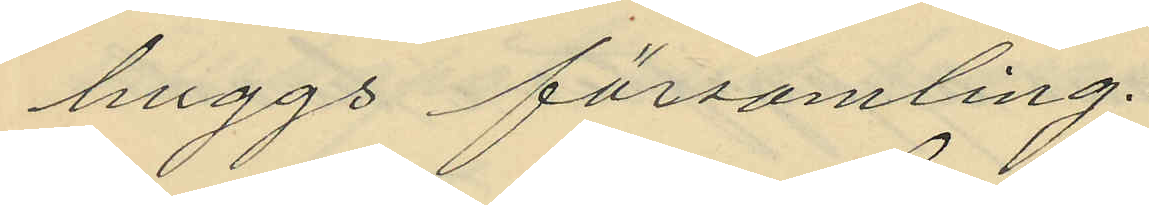huggs församling.
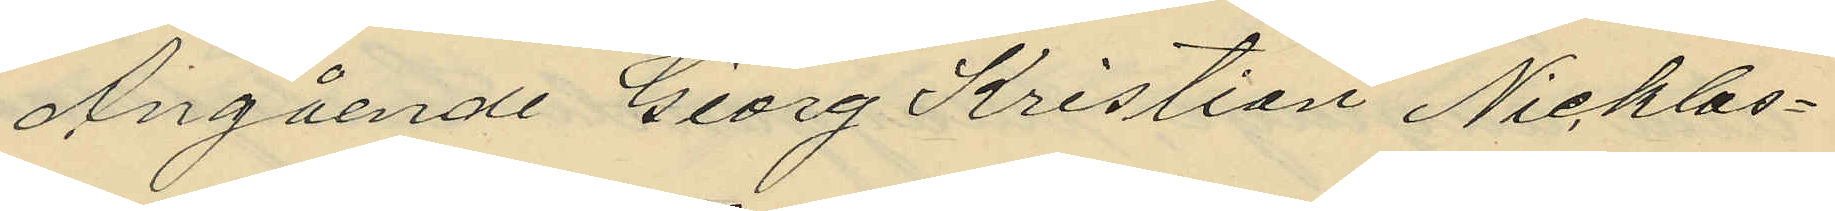Angående Georg Kristian Nicklas¬
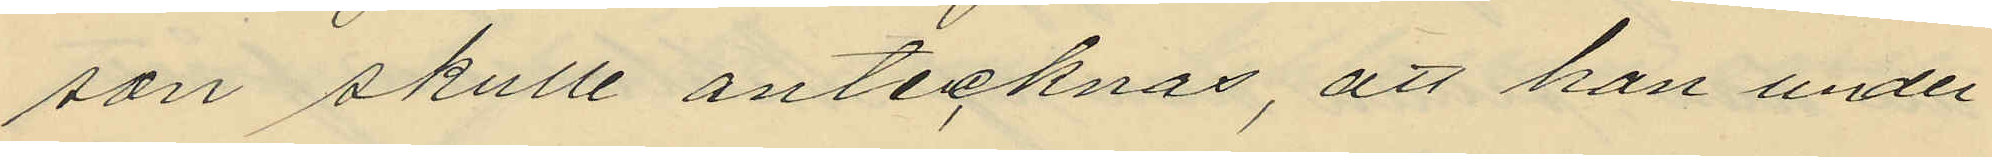son skulle antecknas, att han under
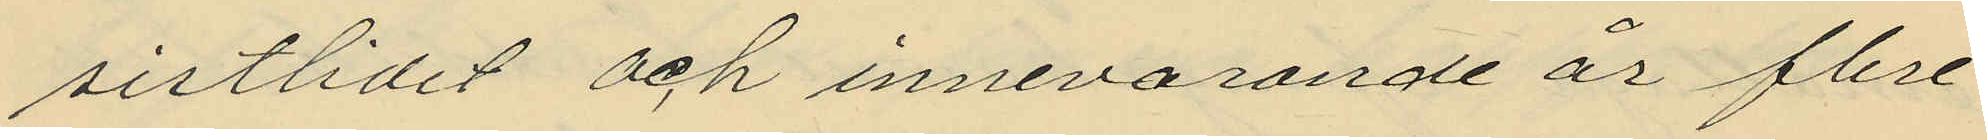sistlidet och innevarande år flere
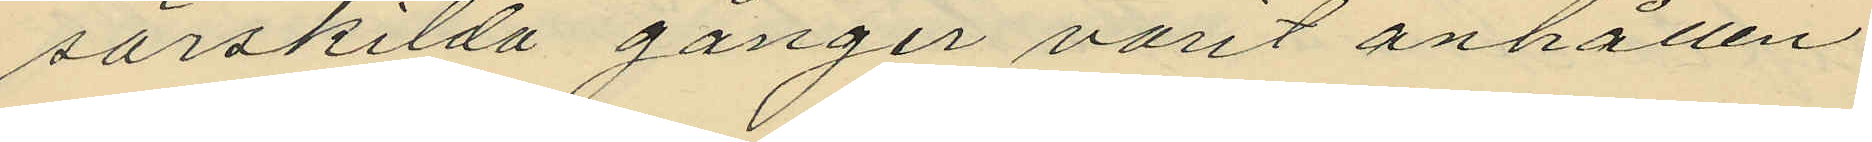särskilda gånger varit anhållen
